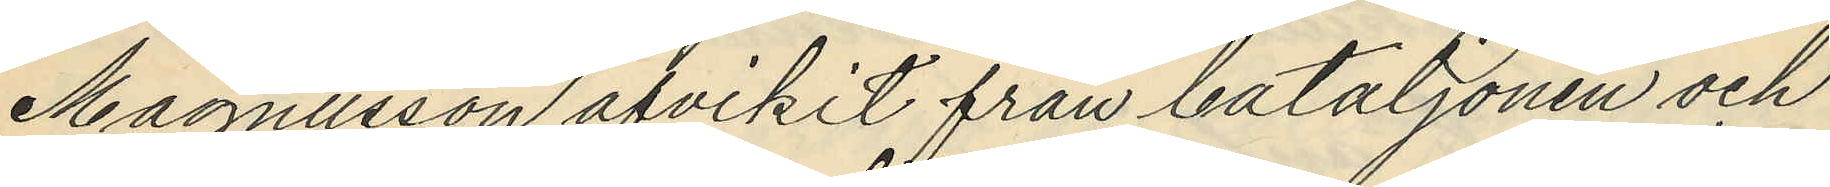Magnusson afvikit från bataljonen och
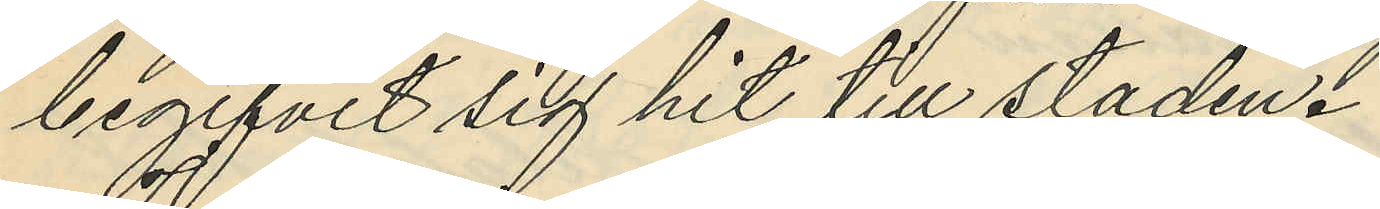begifvit sig hit till staden.
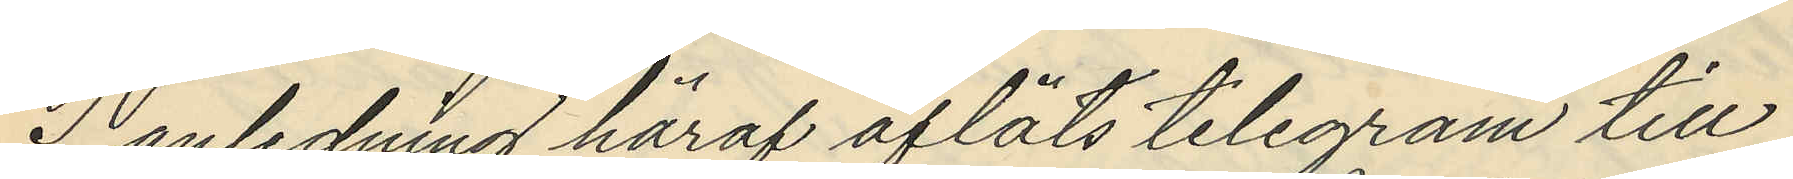I anledning häraf afläts telegram till
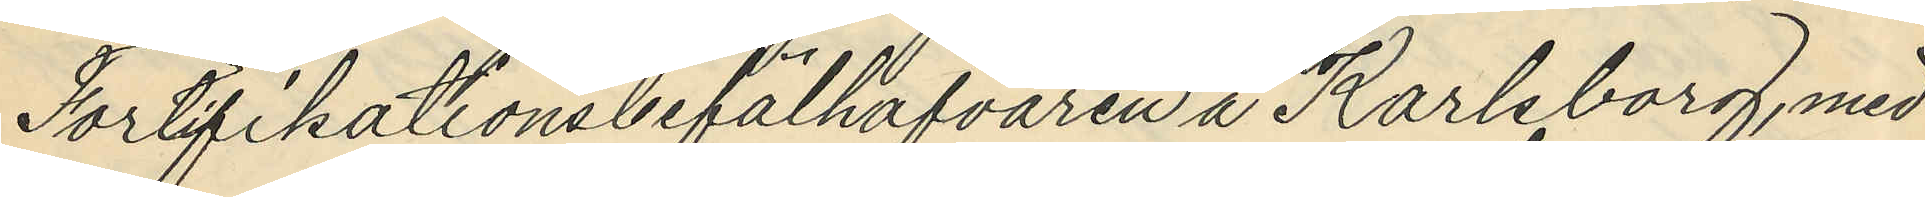Fortifikationsbefälhafvaren å Karlsborg, med
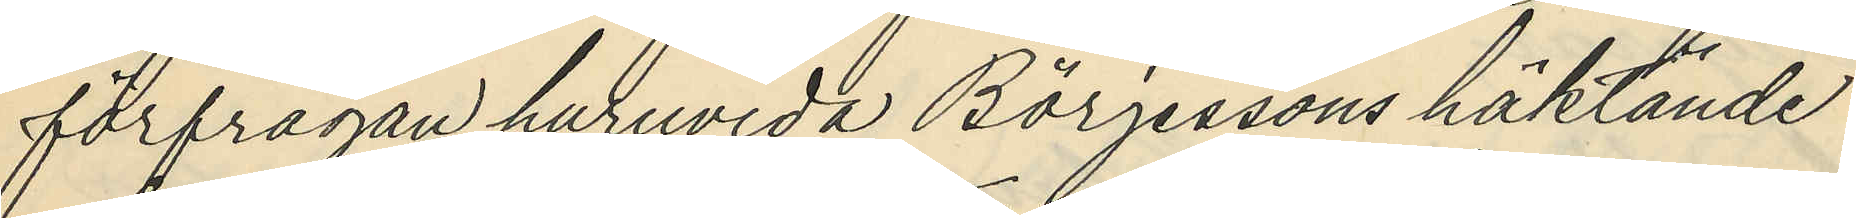förfrågan huruvida Börjessons häktande
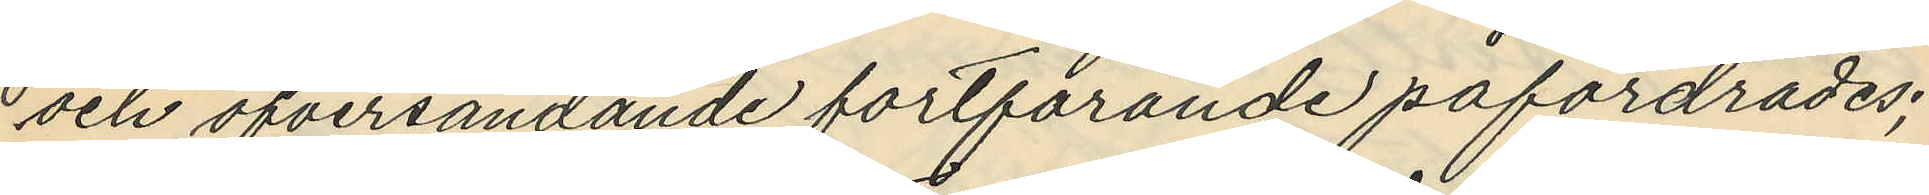och öfversändande fortfarande påfordrades;
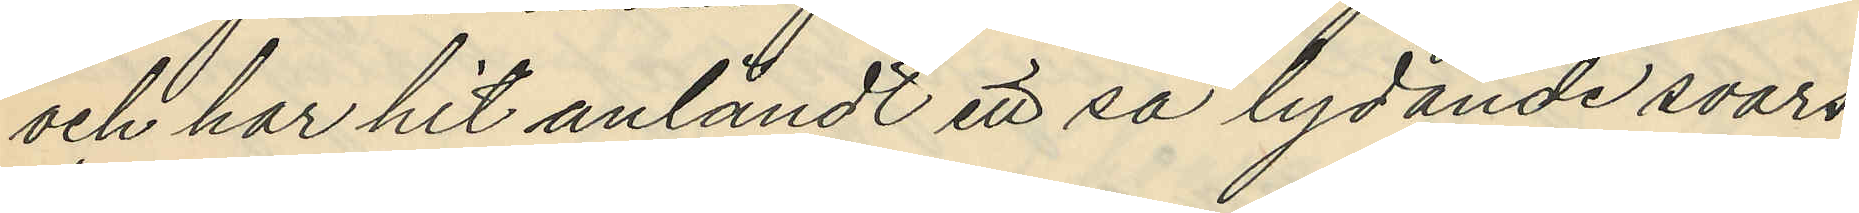och har hit anländt ett så lydande svars
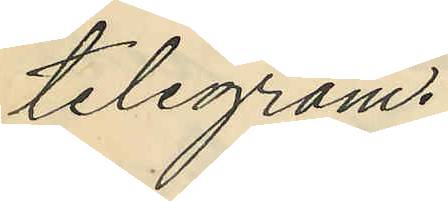telegram.
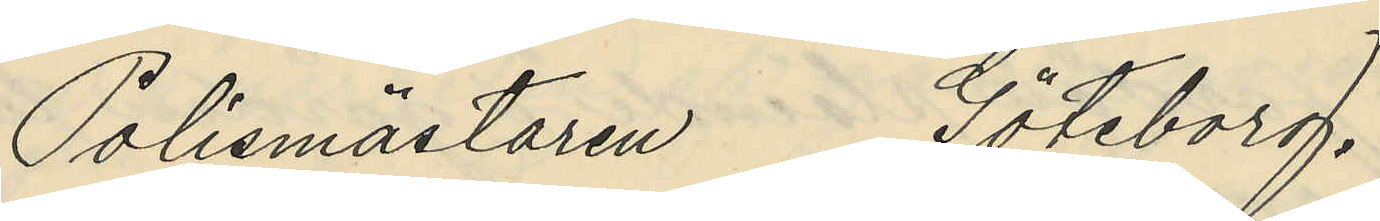Polismästaren Göteborg.
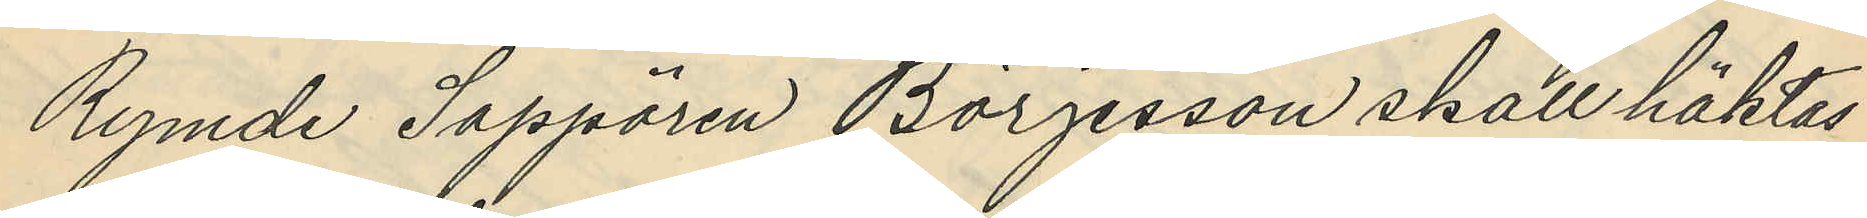Rymde Sappören Börjesson skall häktas
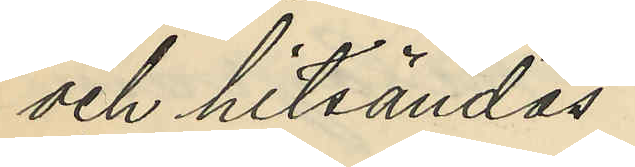och hitsändas
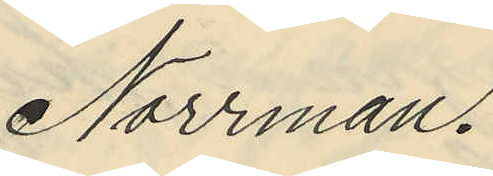Norrman.
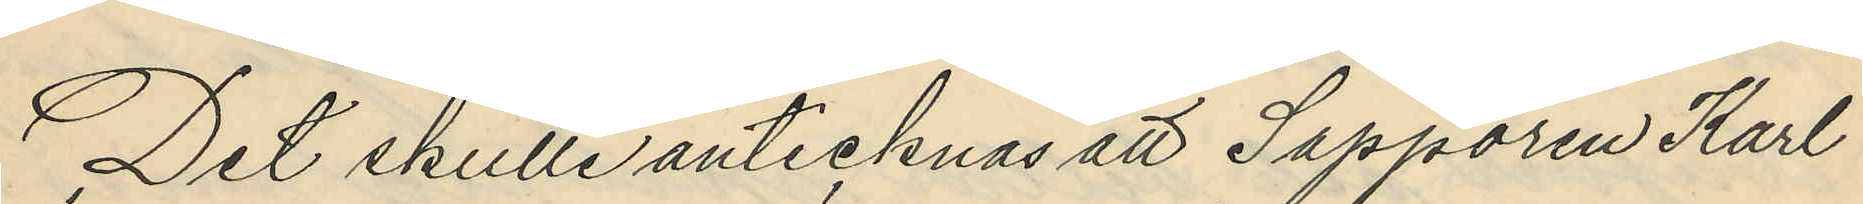Det skulle antecknas att Sappören Karl
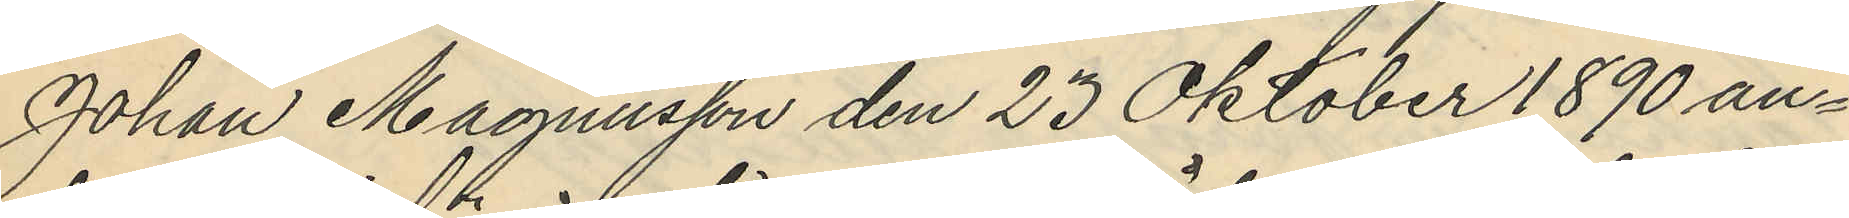Johan Magnusson den 23 Oktober 1890 an¬
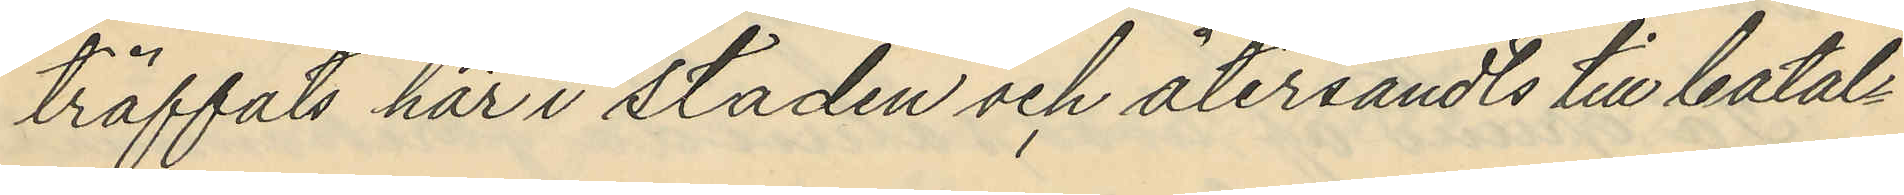träffats här i staden och återsändts till batal¬
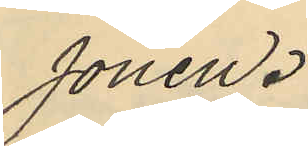jonen.
